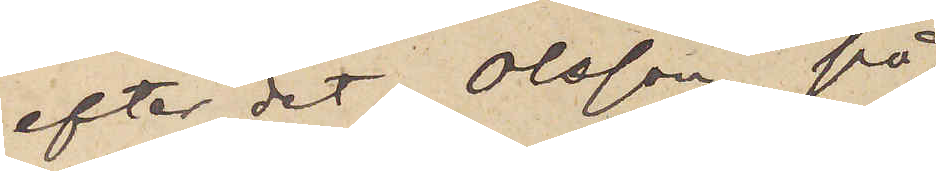efter det Olsson på
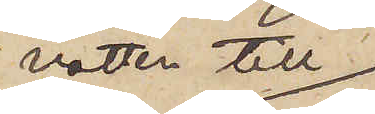natten till
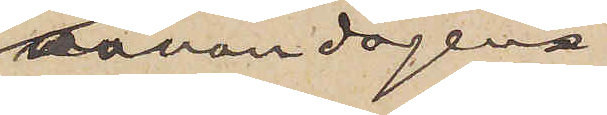annandagen
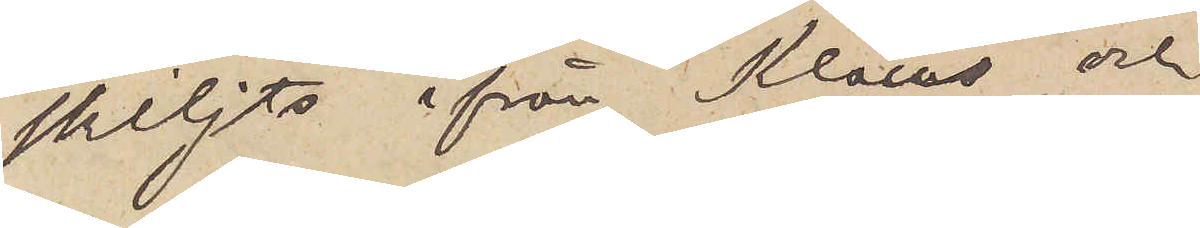skiljts ifrån Klaus och
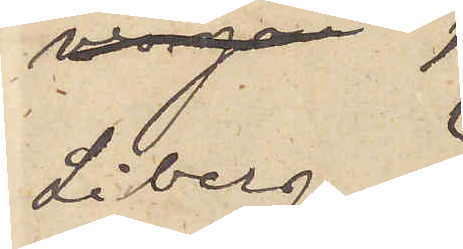Liberg?
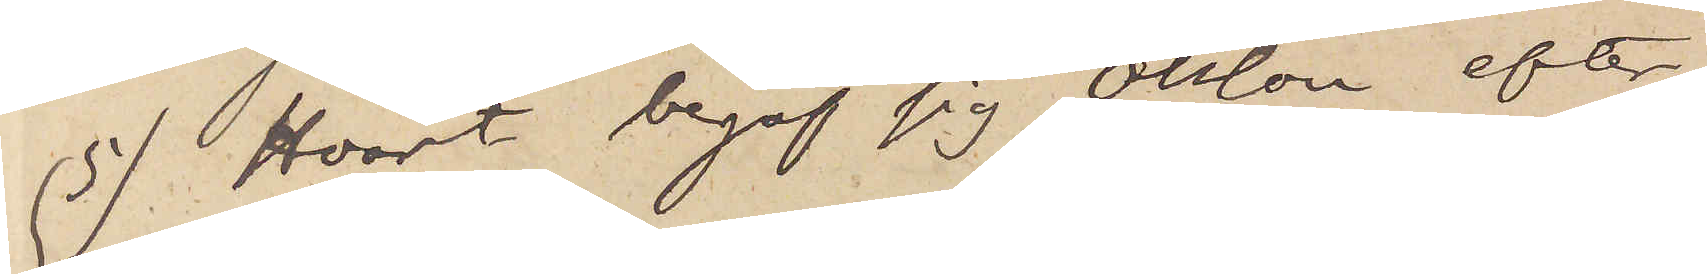5) Hvart begaf sig Olsson efter
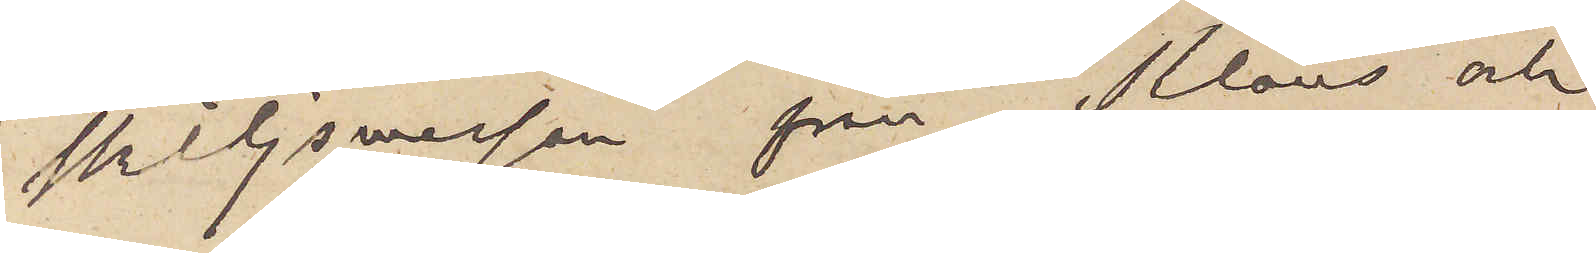skiljsmessan från Klaus och
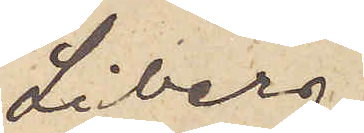Liberg
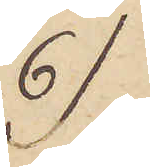6)
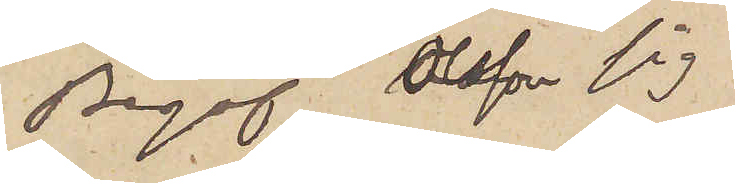Begaf Olsson sig
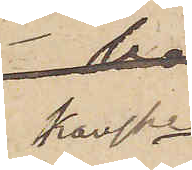kanske
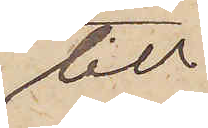till
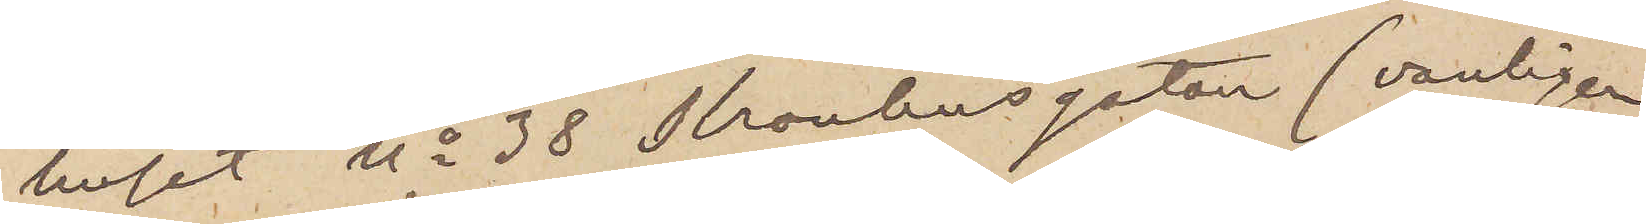huset No 38 Kronhusgatan (vanligen
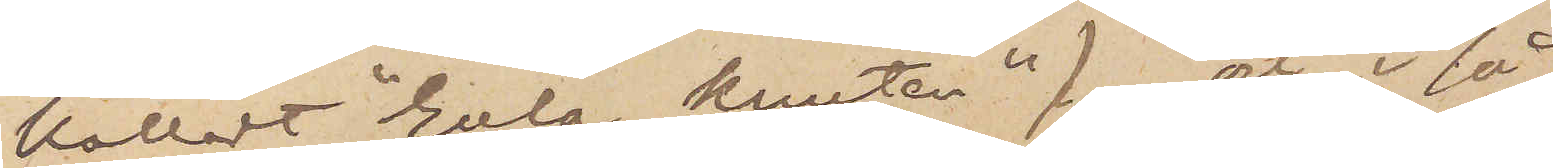kalladt "Gula knuten") och i så
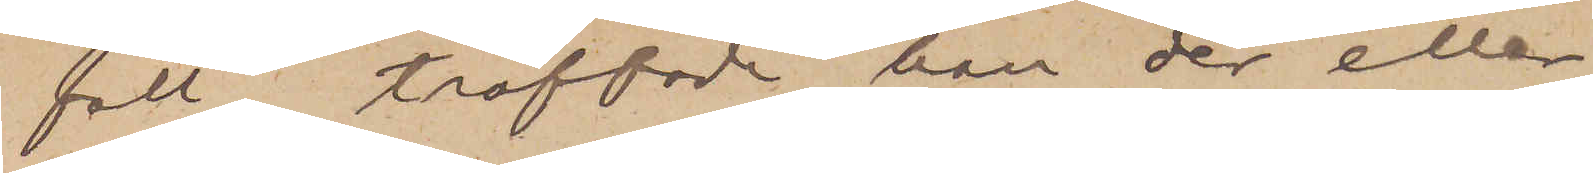fall, träffade han der eller
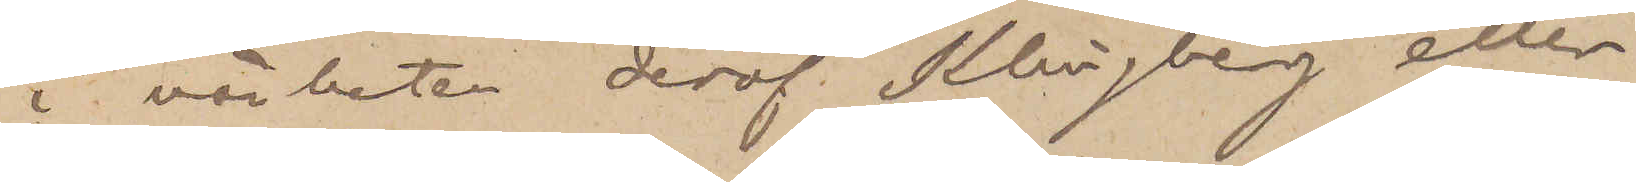i närheten deraf Klingberg eller
